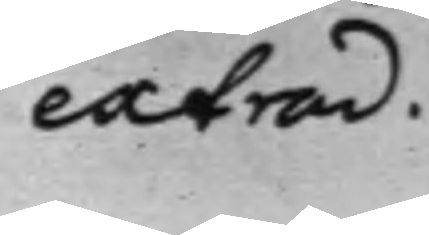extrad.
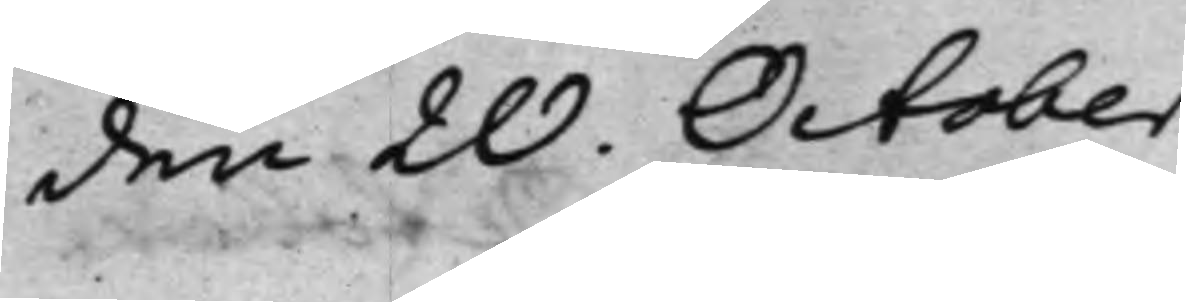den 20. October.
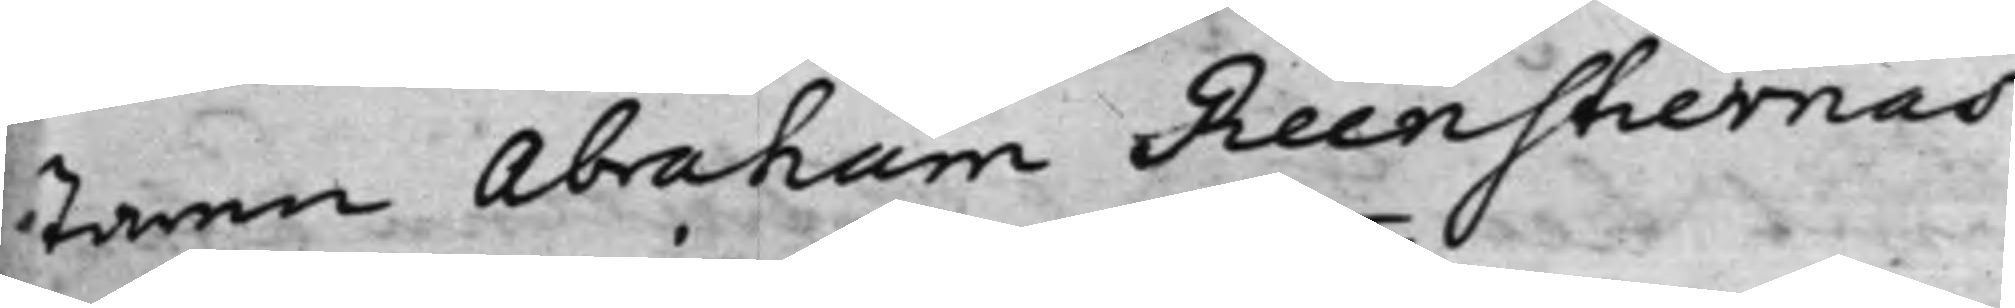staren Abraham Reenstiernas
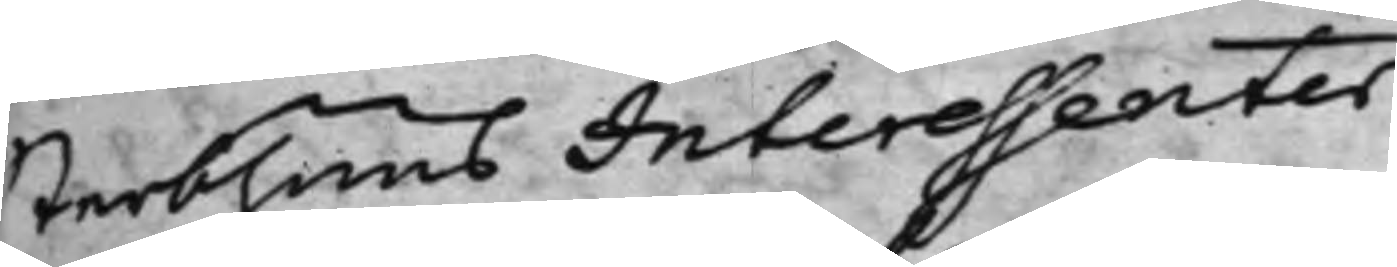Sterbhuus Interessenter.
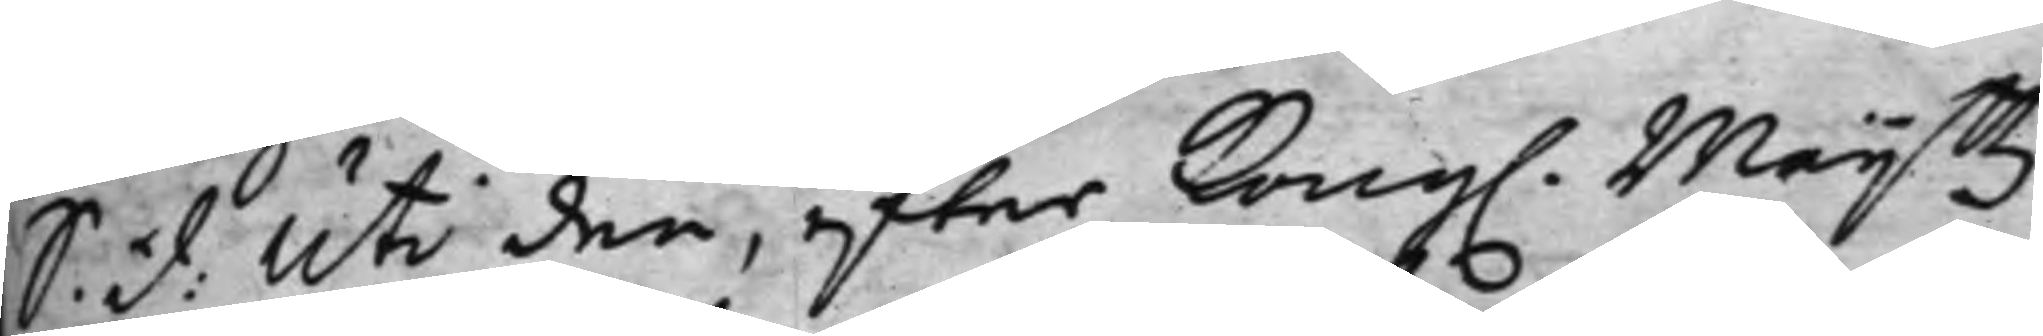S. d. uti den effter Kong. Maijttz
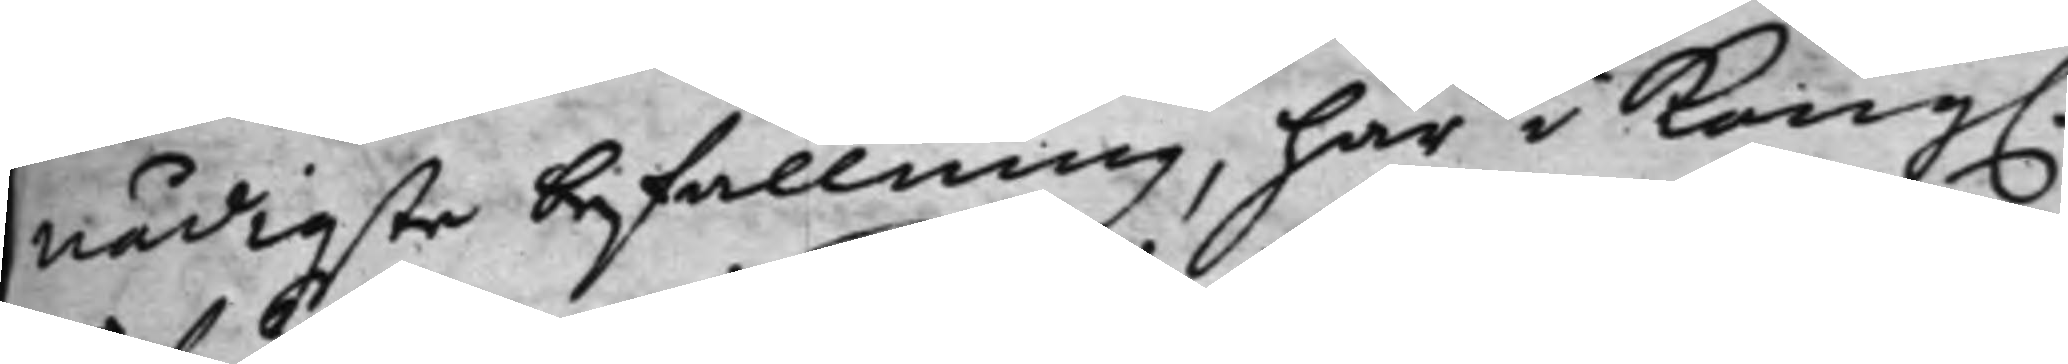nådigste befallning, här i Kong.
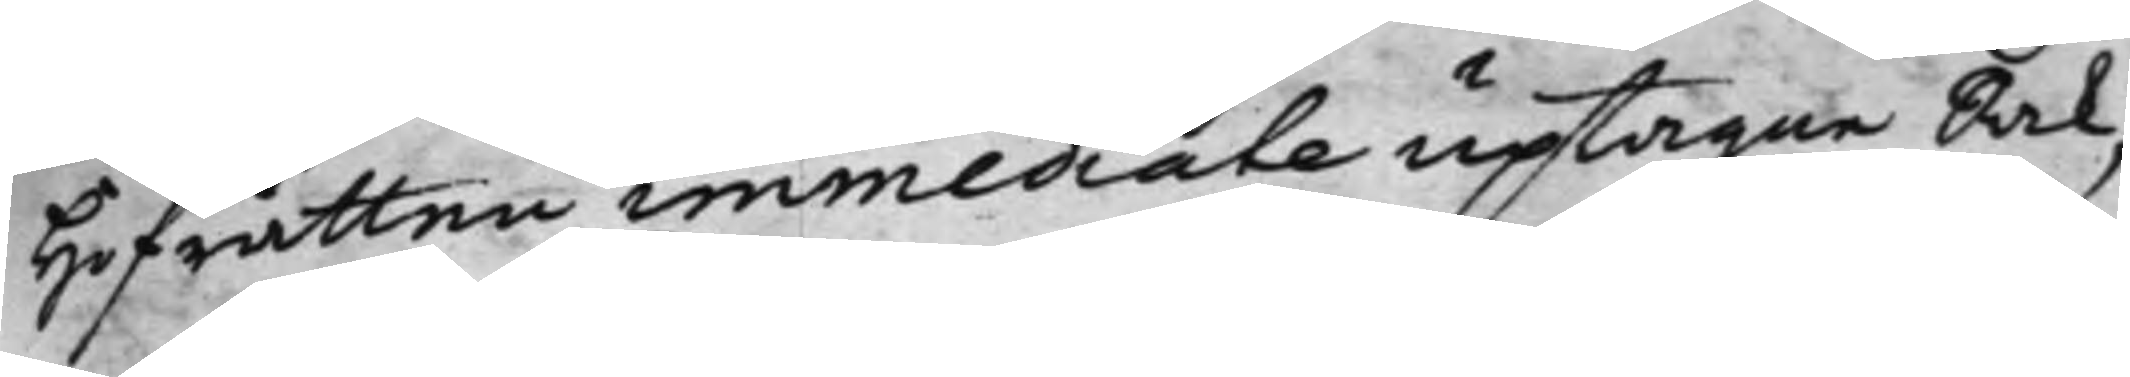Hofrätten immediate uptagne Sak,
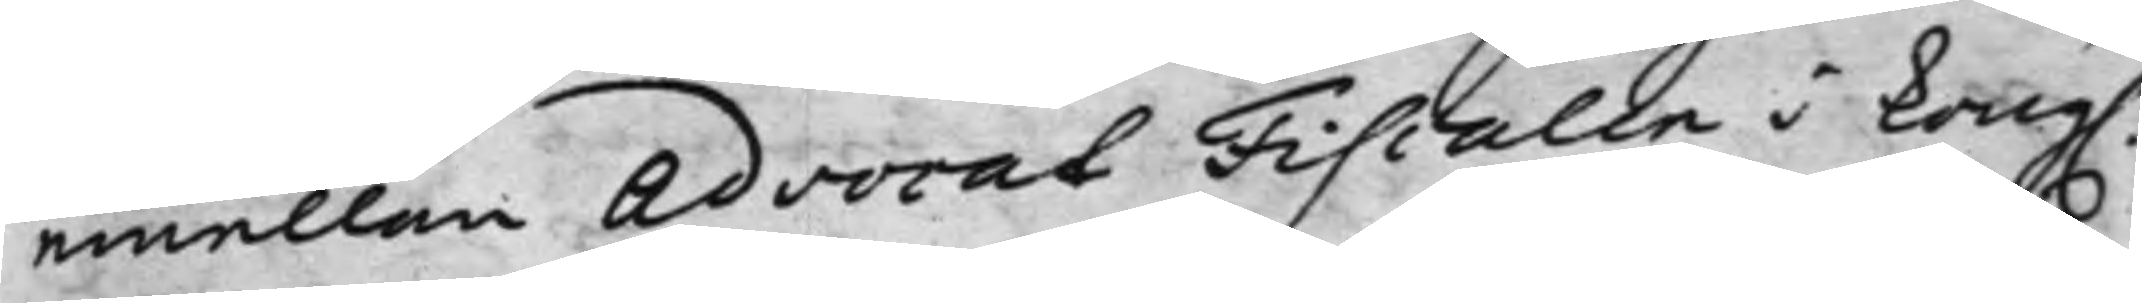emellan Advocat Fiscalen i Kong.
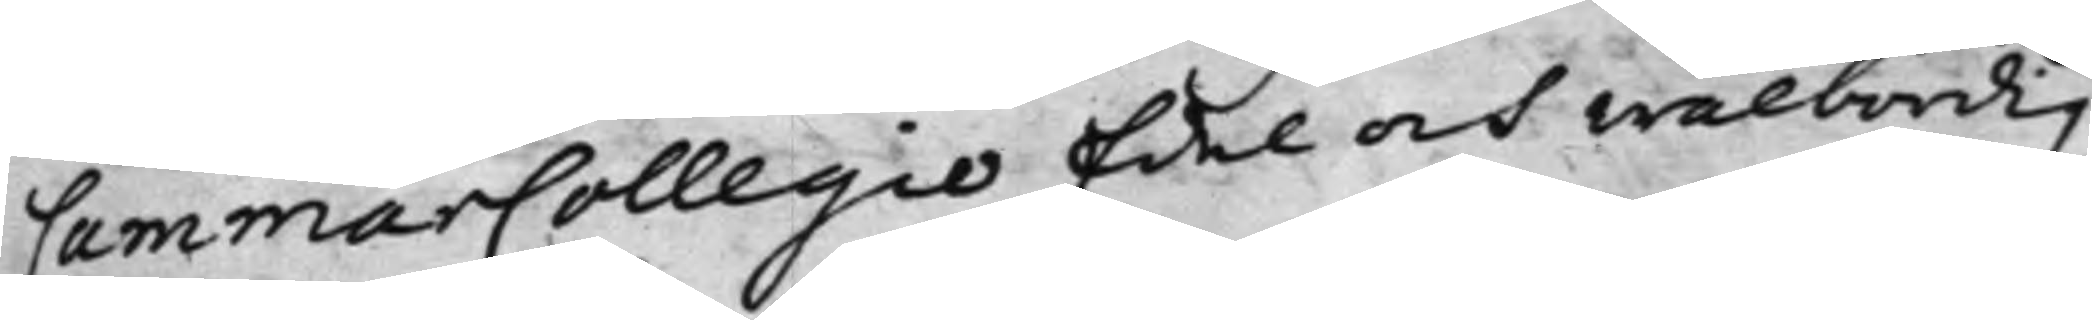CammarCollegio Edel och wälbördig
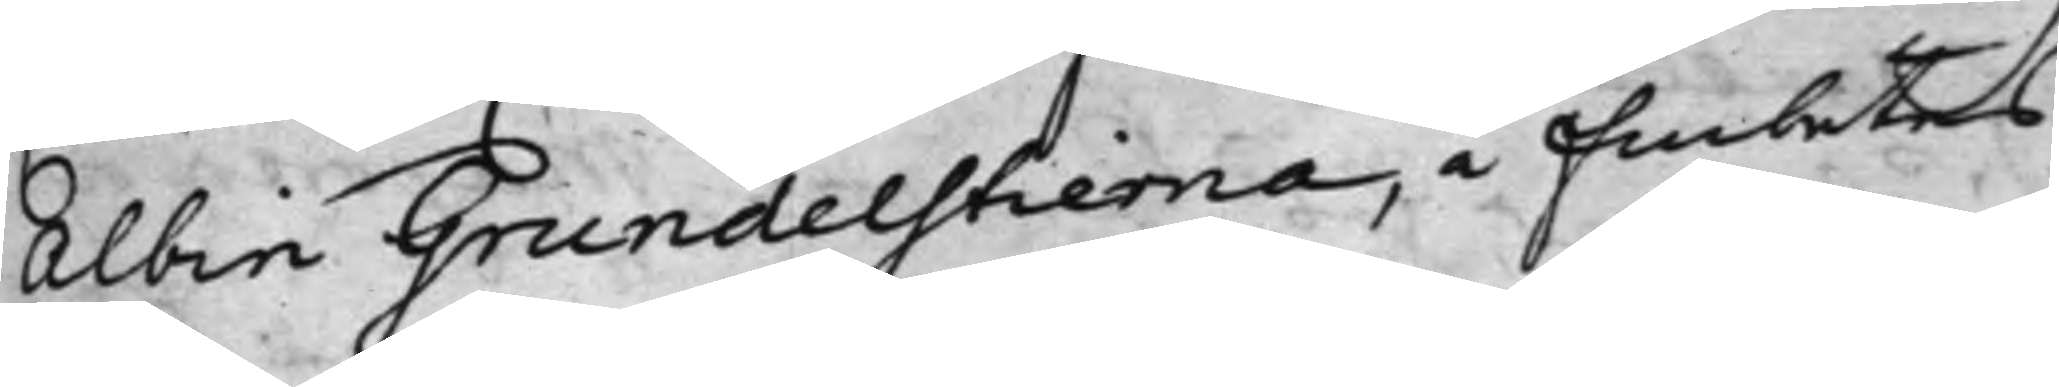Albin Grundelstierna, å Embetes
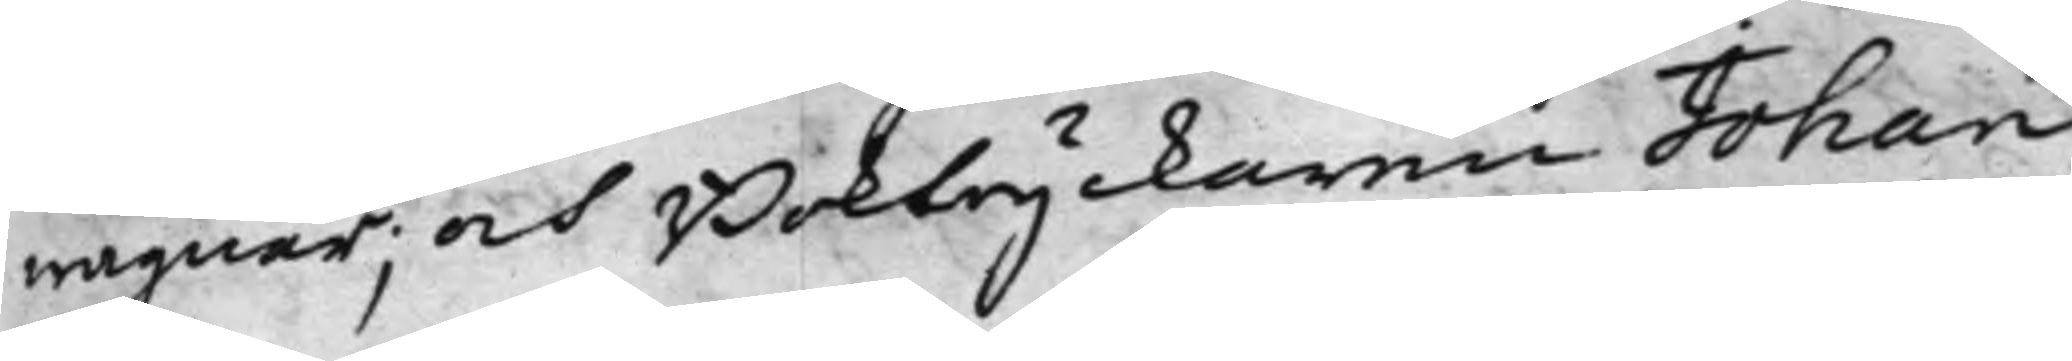wägnar, och Boktryckaren Johan
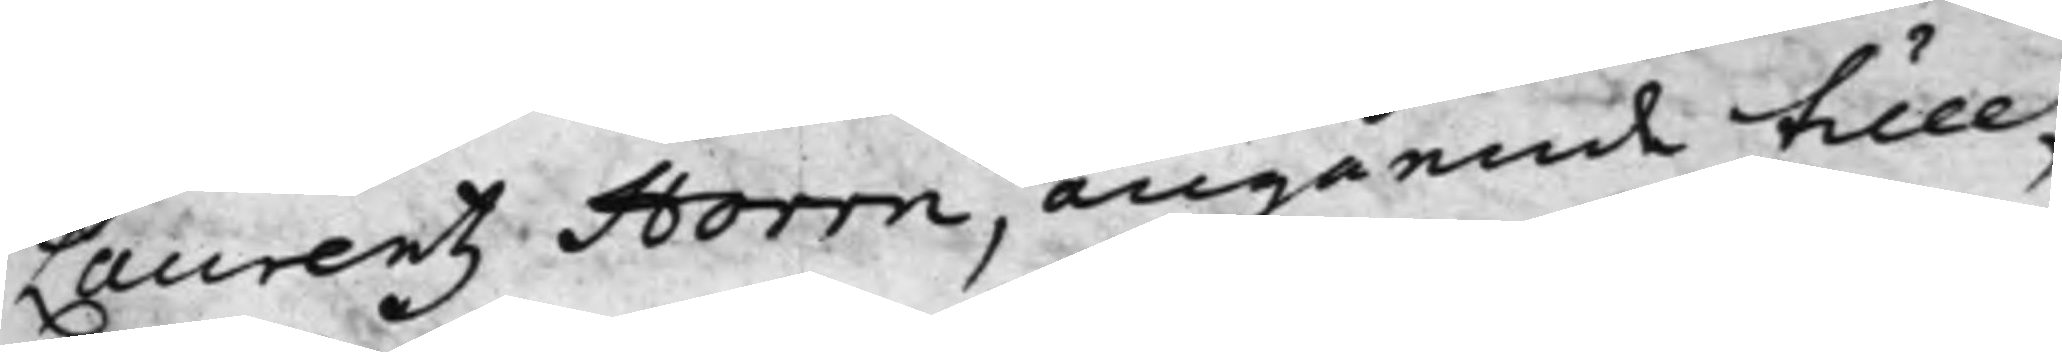Laurentz Horrn, angående till
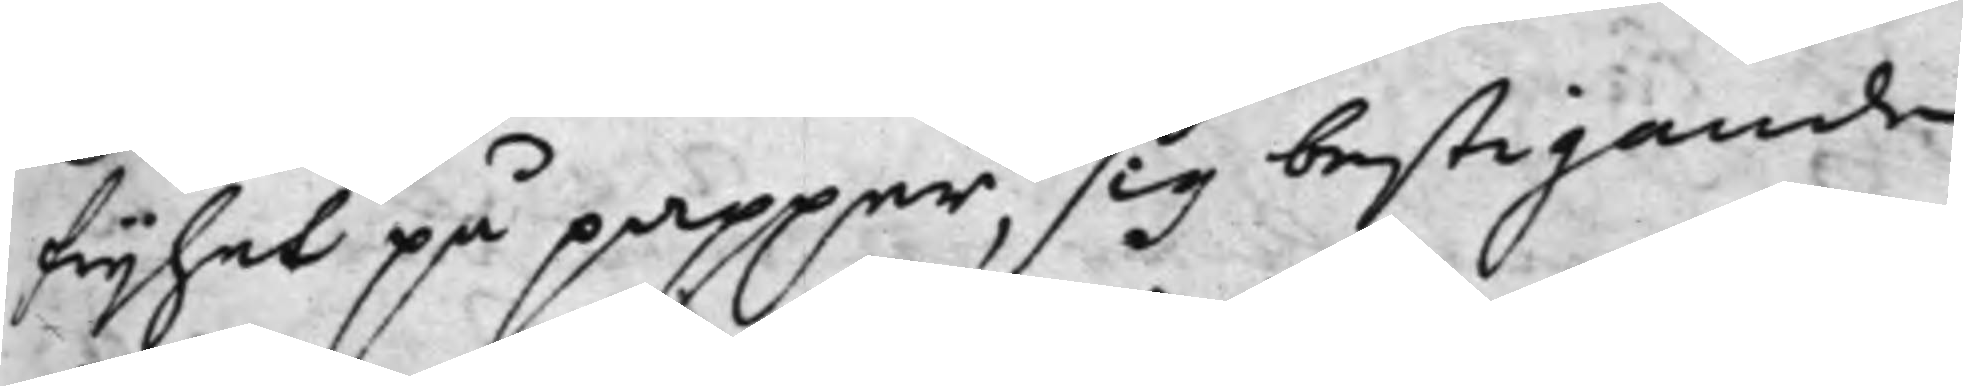frijhet på papper, sig bestigande
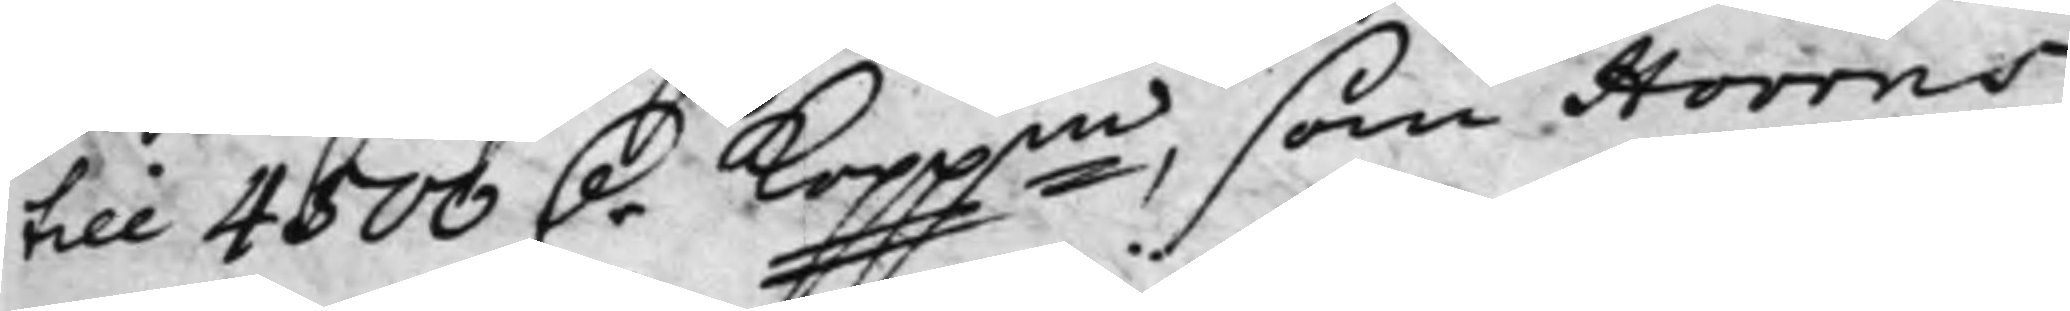till 4500 D.r Koppmt, som Horrns
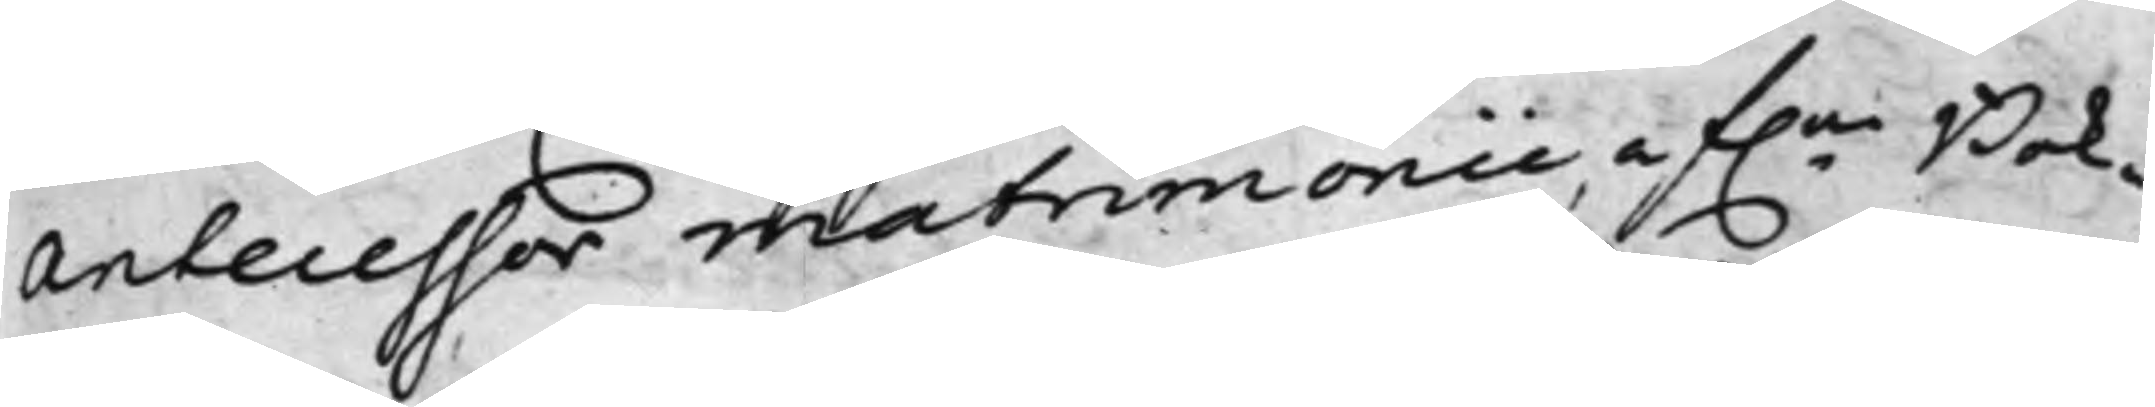antecessor matrimonii af.ne Bok¬
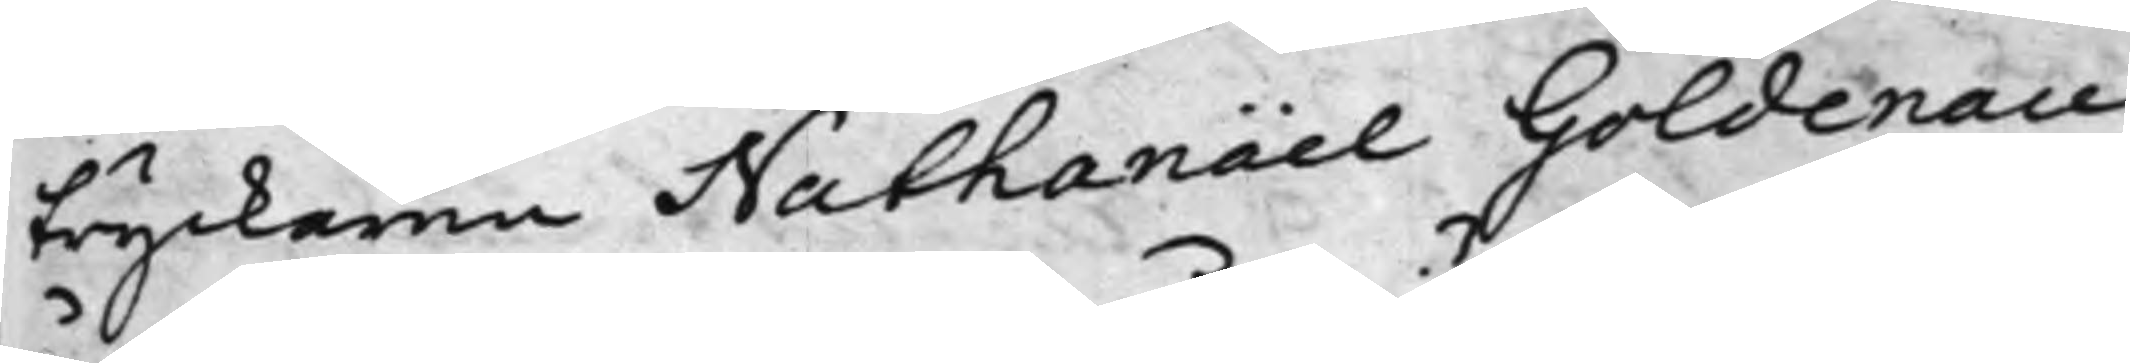tryckaren Nathanaël Goldenau
